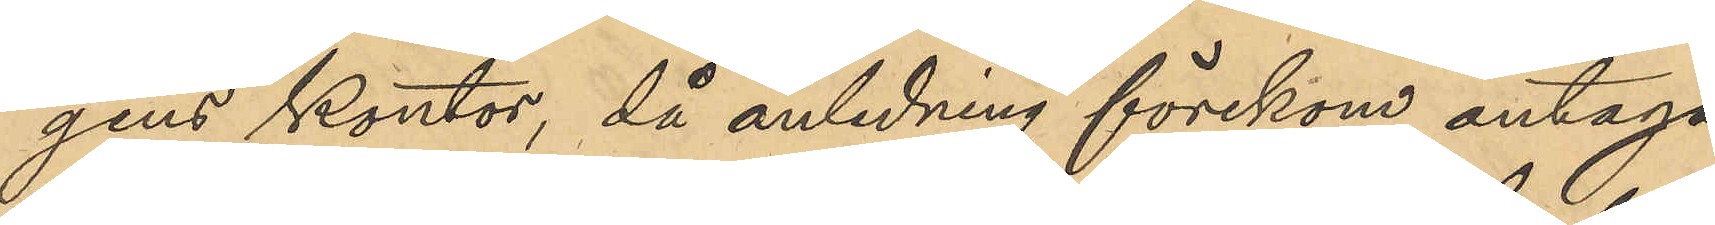gens kontor, då anledning förekom antaga
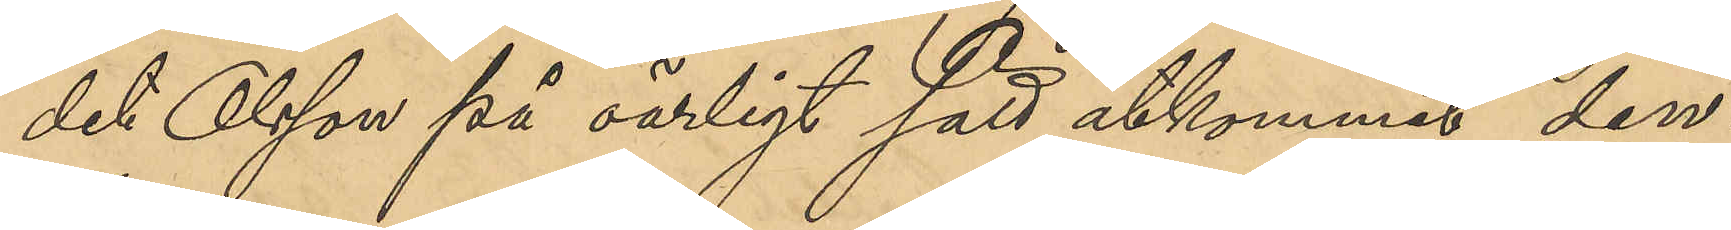det Olsson på oärligt sätt åtkommit den¬
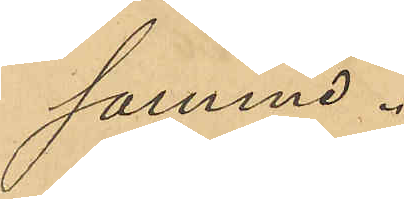samma.
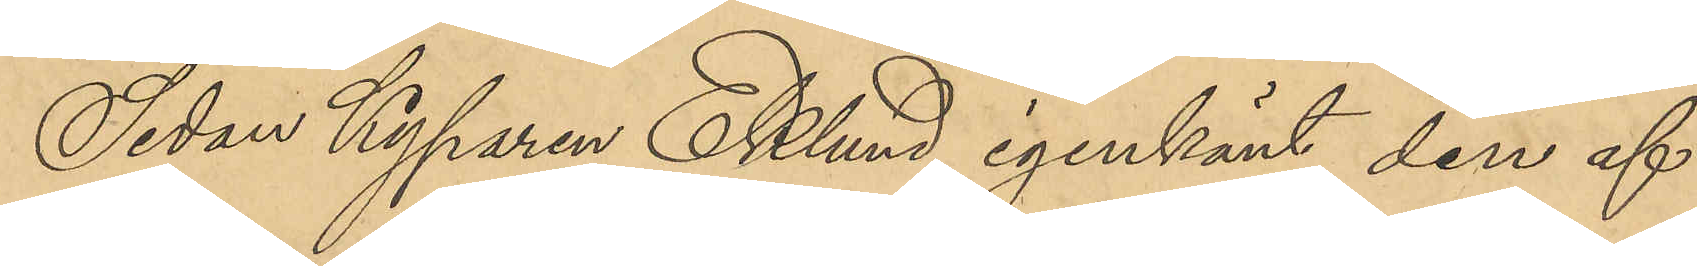Sedan Kyparen Eklund igenkänt den af
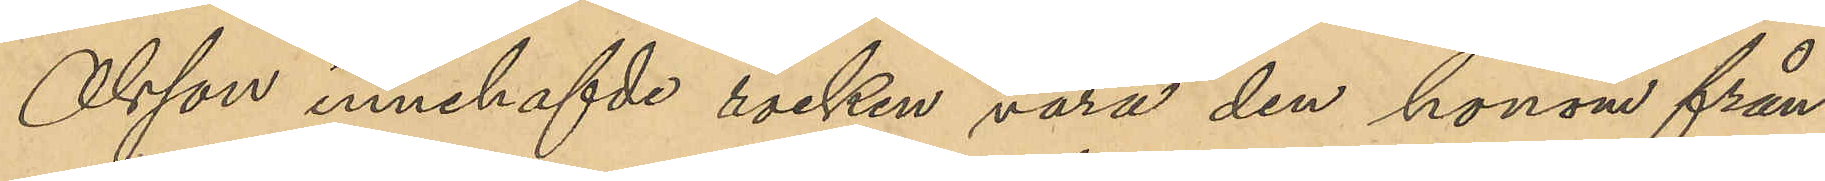Olsson innehafde rocken vara den honom från¬
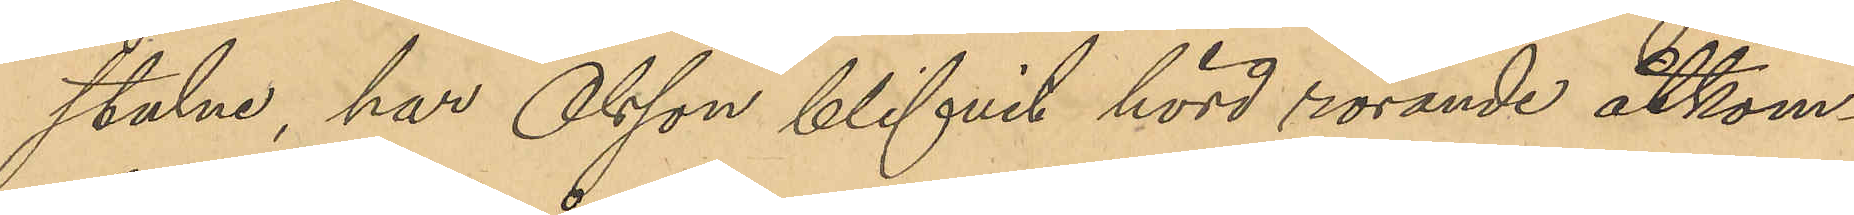stulne, har Olsson blifvit hörd rörande åtkom¬
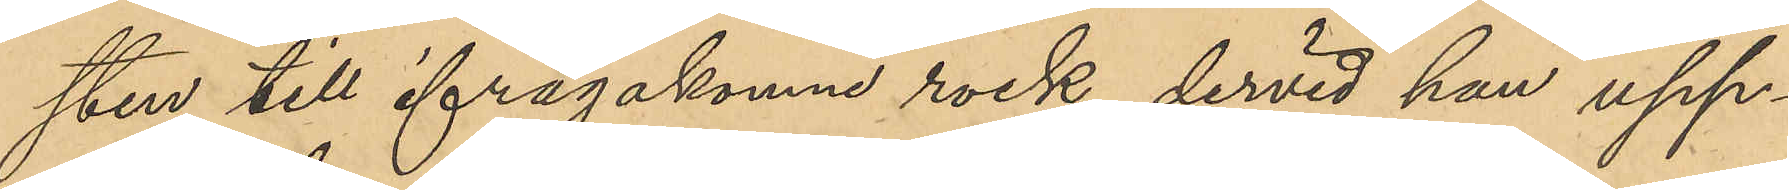sten till ifrågakomne rock, dervid han upp¬
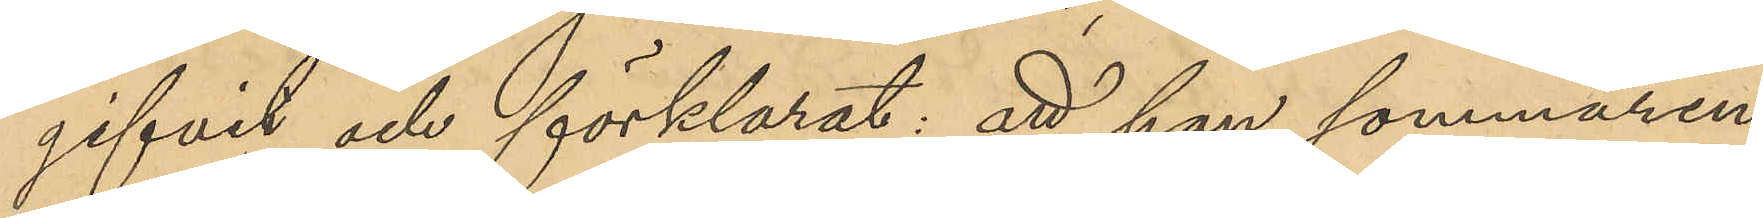gifvit och förklarat: att han sommaren 
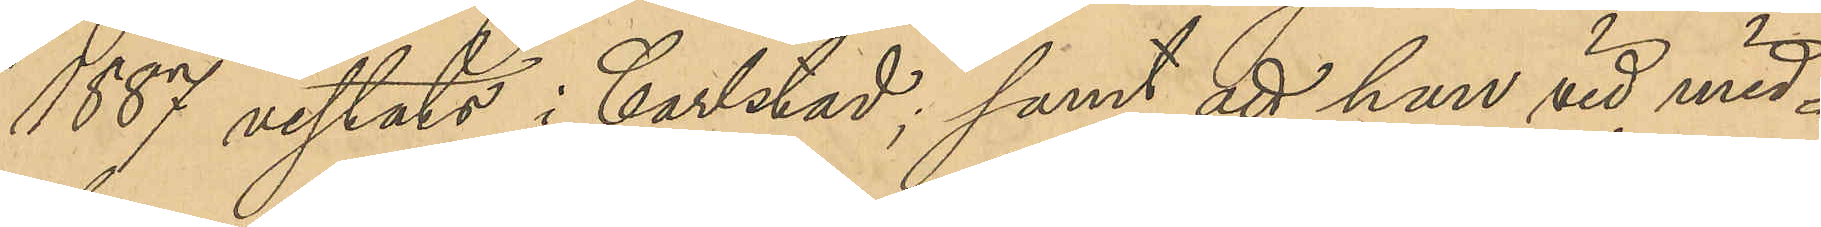1887 vistats i Carlstad; samt att han vid mid¬
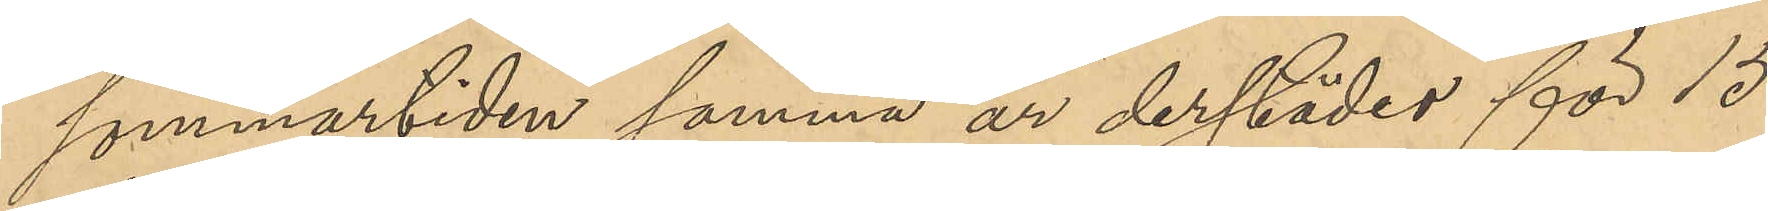sommartiden samma år derstädes för 15
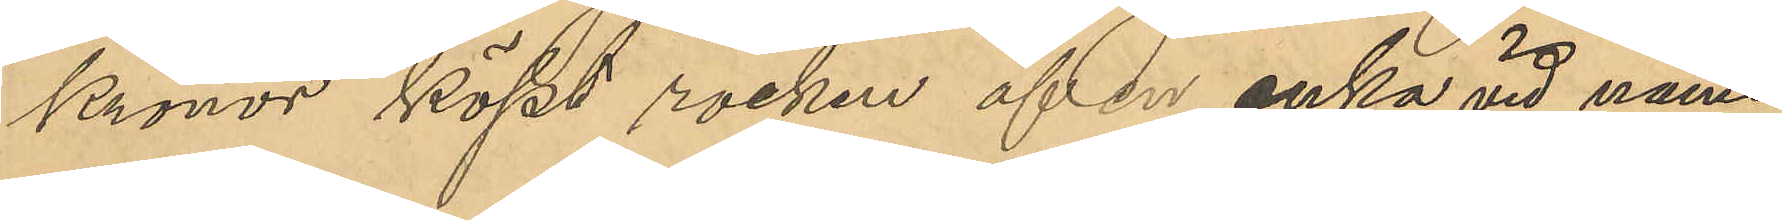Kronor köpt rocken af en enka vid namn
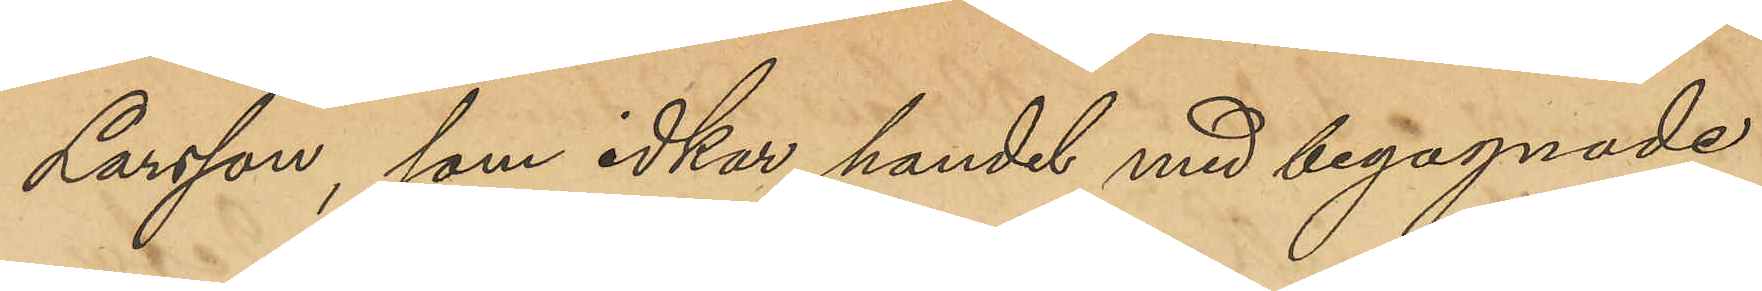Larsson, som idkar handel med begagnade
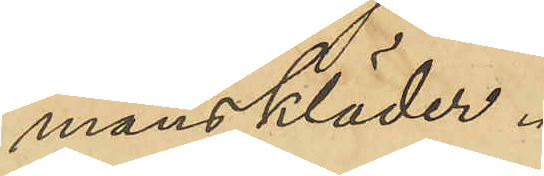manskläder.
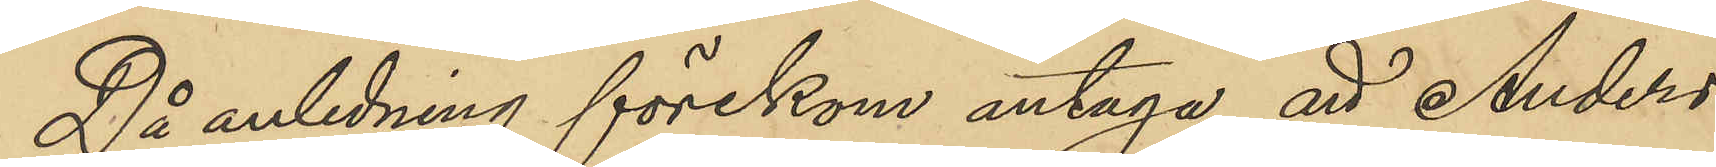Då anledning förekom antaga att Anders
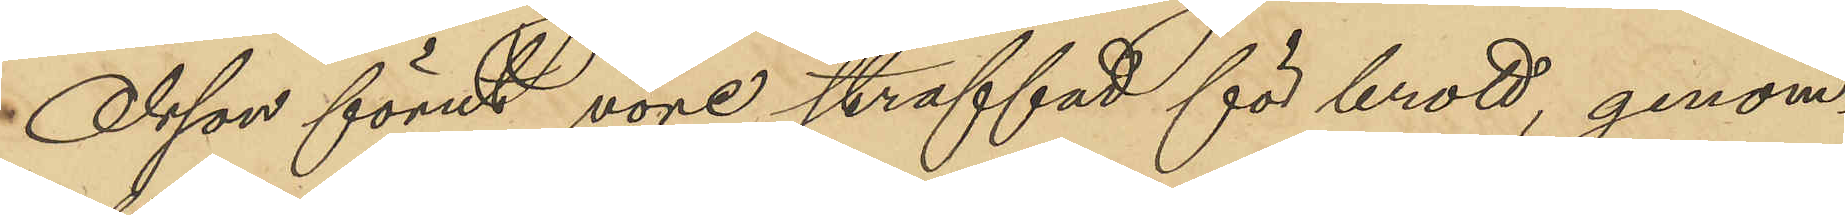Olsson förut vore straffad för brott, genom¬
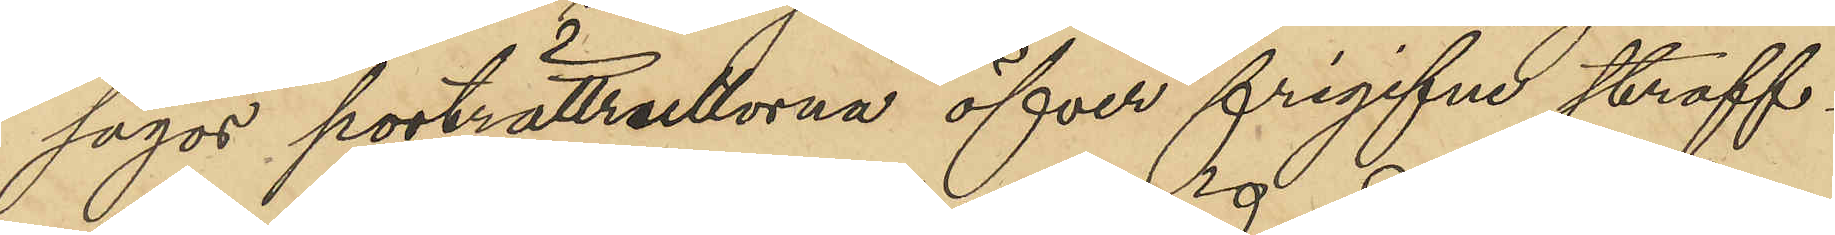sågos porträttrullorna öfver frigifne straff¬
